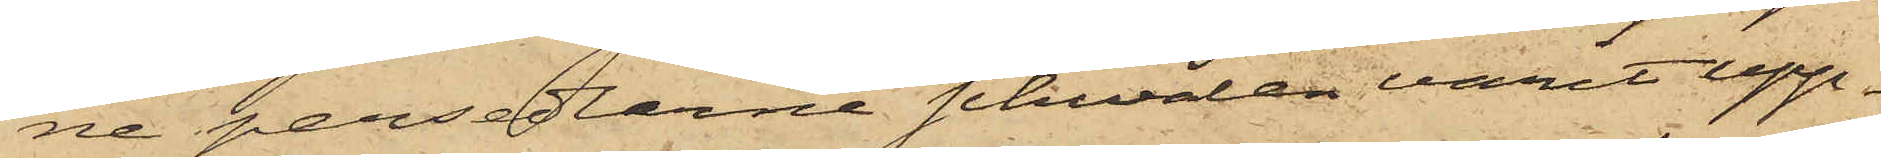ne persedlarne schwalen varit upp¬
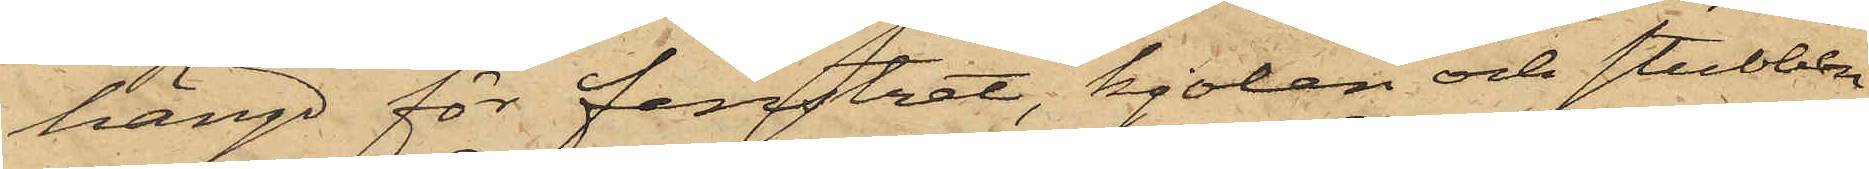hängd för fenstret, kjolen och stubben
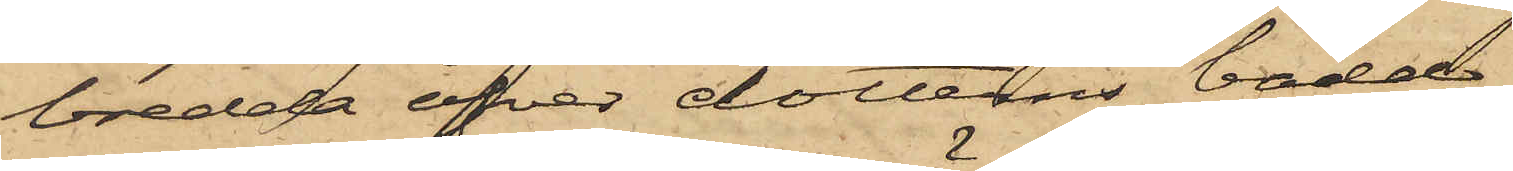bredda öfver dotterns bädd
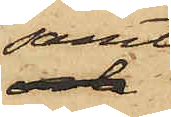samt
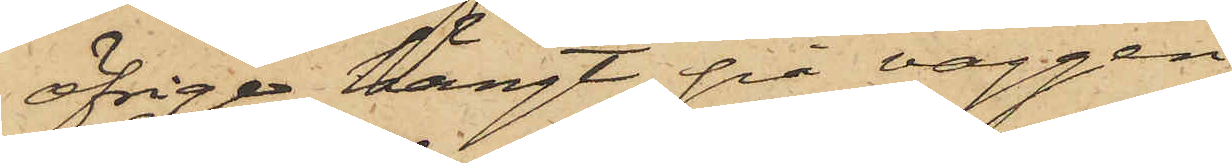öfriga hängt på väggen,
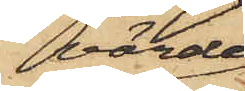värde¬
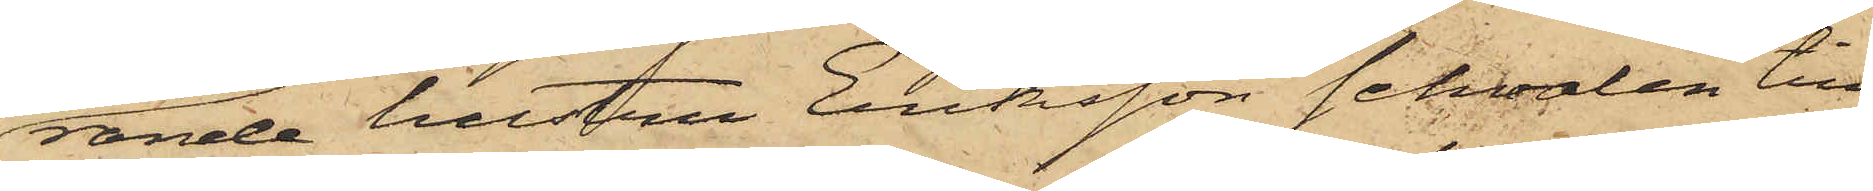rande hustru Eriksson schwalen till
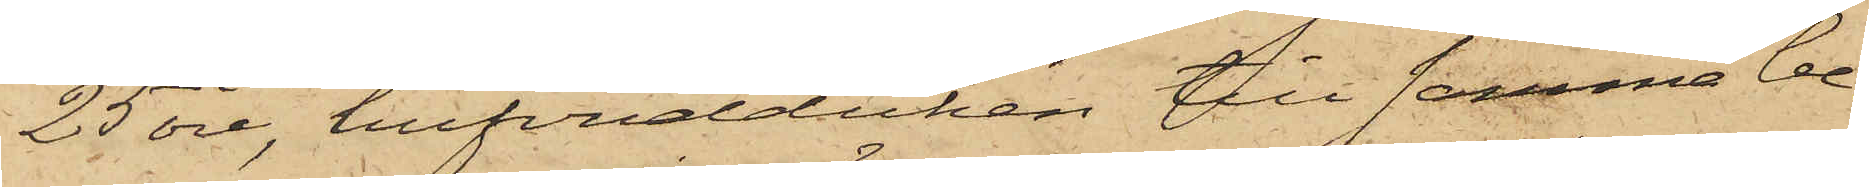25 öre, hufvudduken till samma be¬
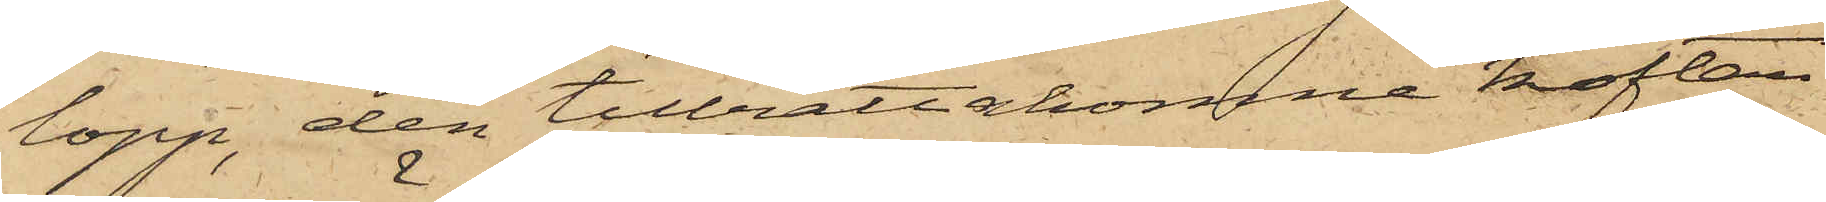lopp, den tillrättakomne koftan
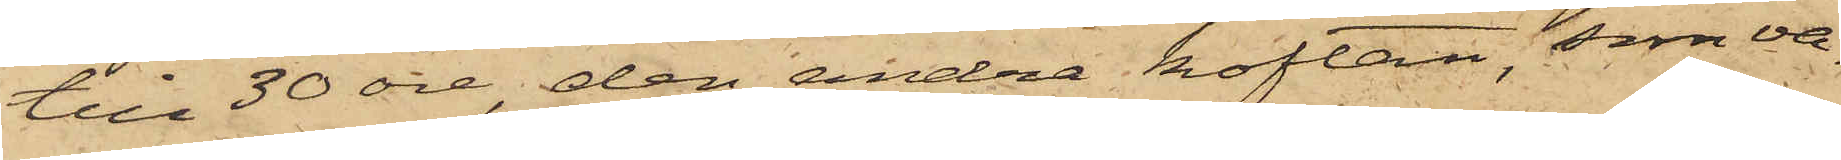till 30 öre, den andra koftan, som va¬
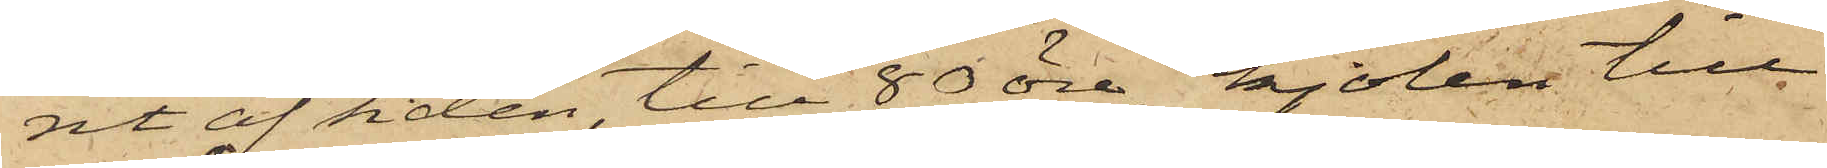rit af siden, till 80 öre, kjolen till
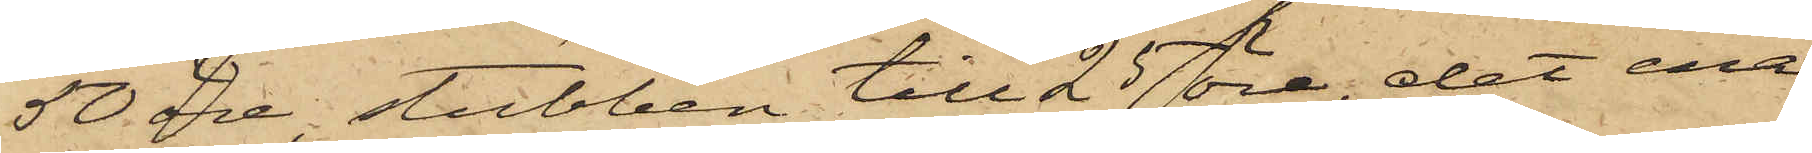50 öre, stubben till 25 öre, det ena
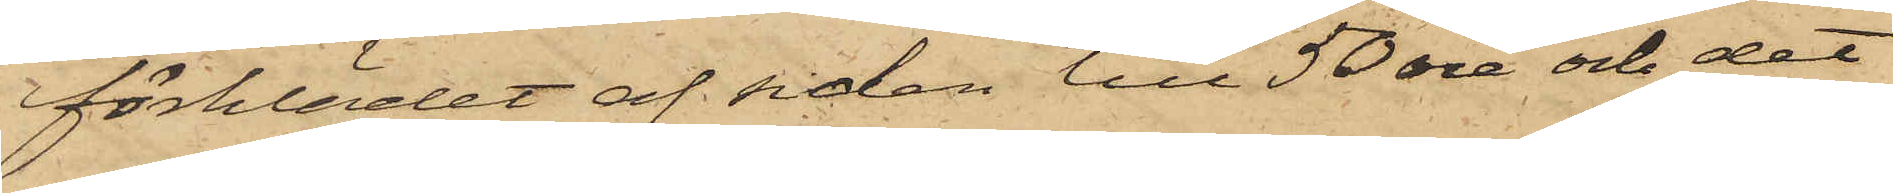förklädet af siden till 50 öre och det
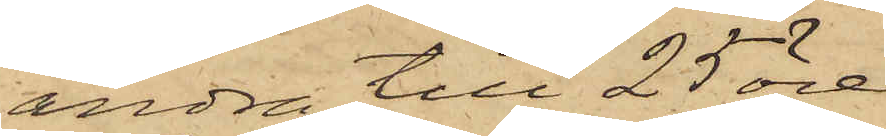andra till 25 öre.
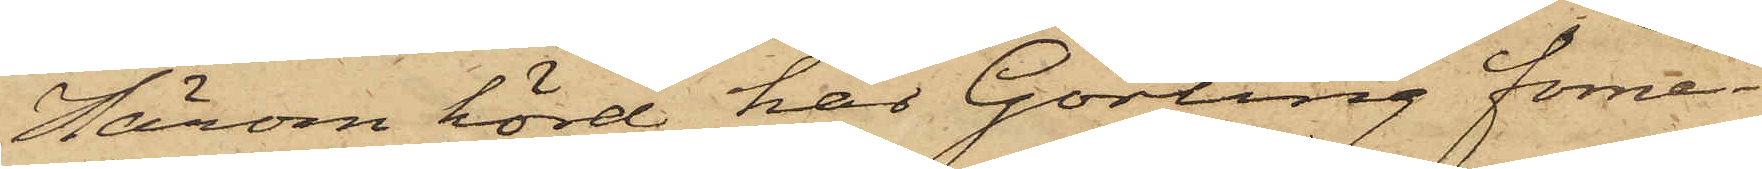Härom hörd har Görling förne¬
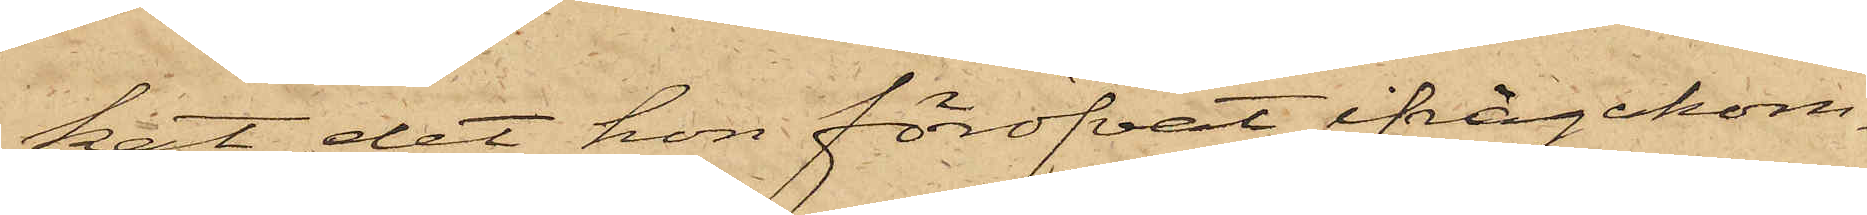kat det hon föröfvat ifrågakom¬
